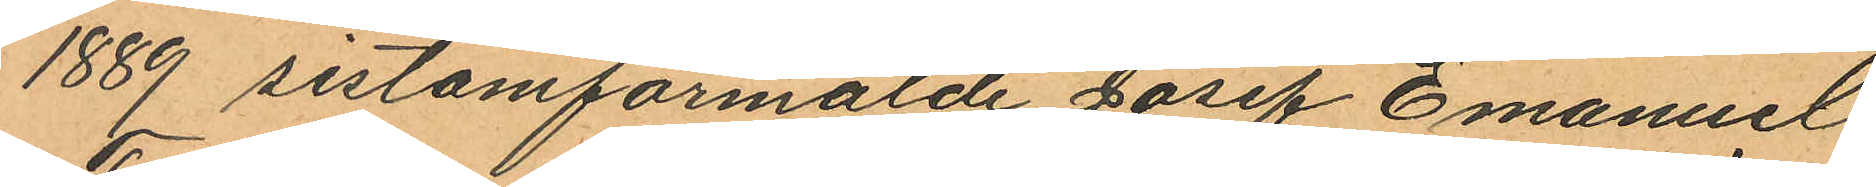1889 sistomförmälde Josef Emanuel
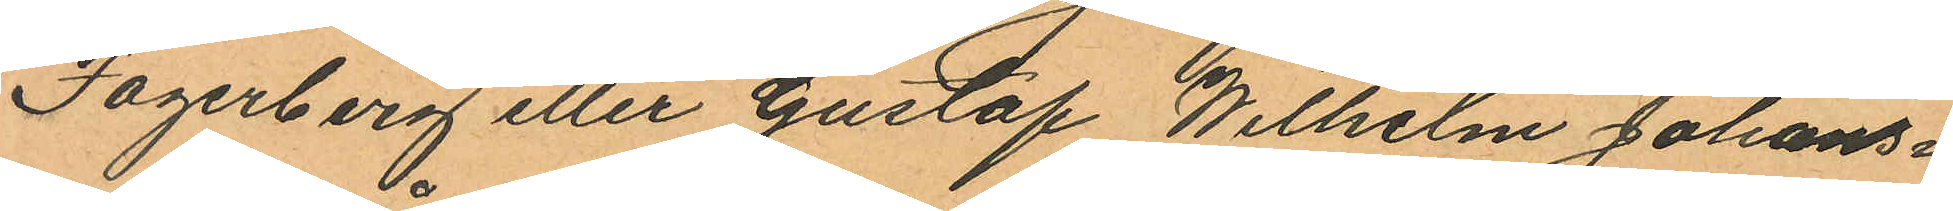Fagerberg eller Gustaf Wilhelm Johans¬
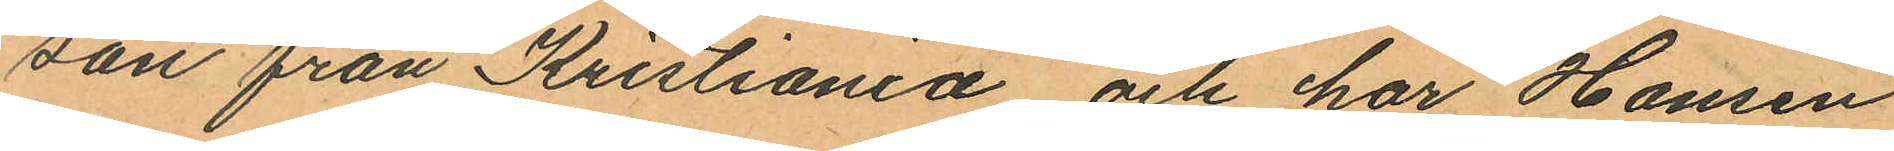son från Kristiania, och har Hansen
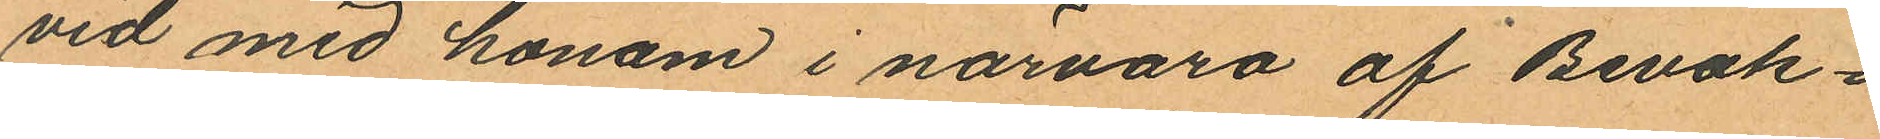vid med honom i närvaro af Bevak¬
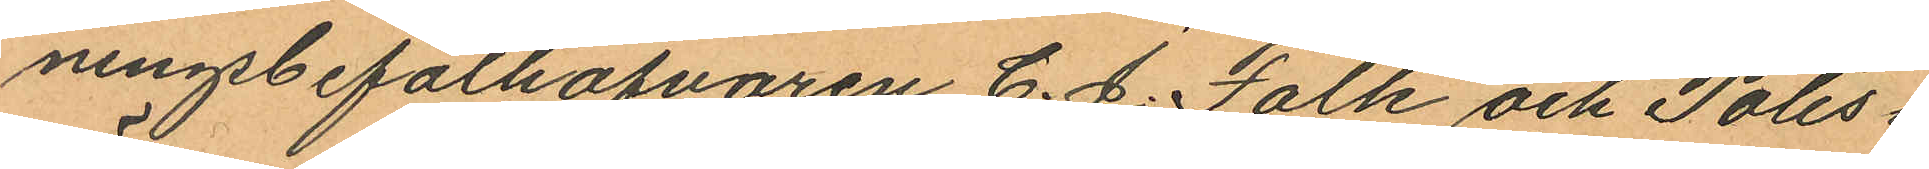ningsbefälhafvaren C. J. Falk och Polis¬
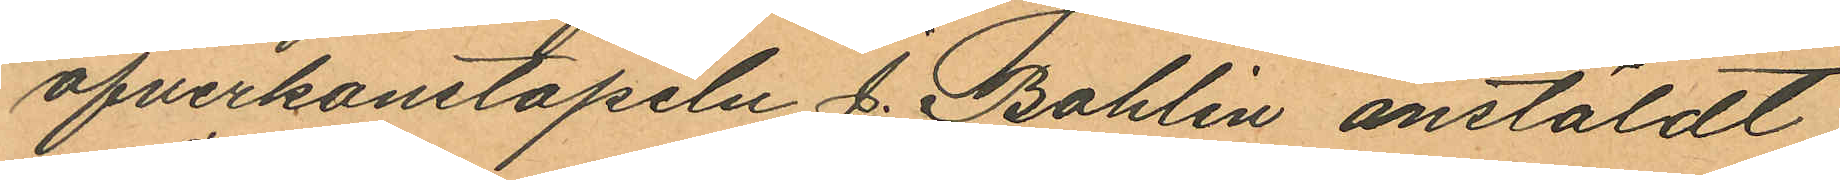öfverkonstapeln J. Bohlin anstäldt
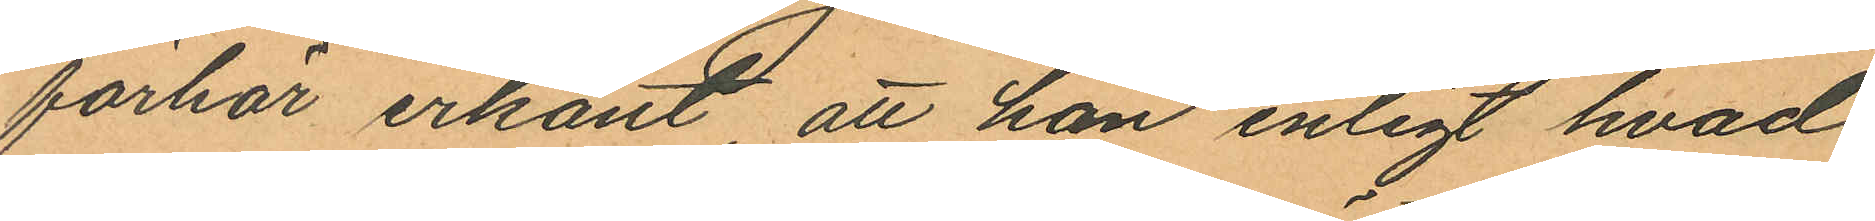förhör erkänt, att han enligt hvad
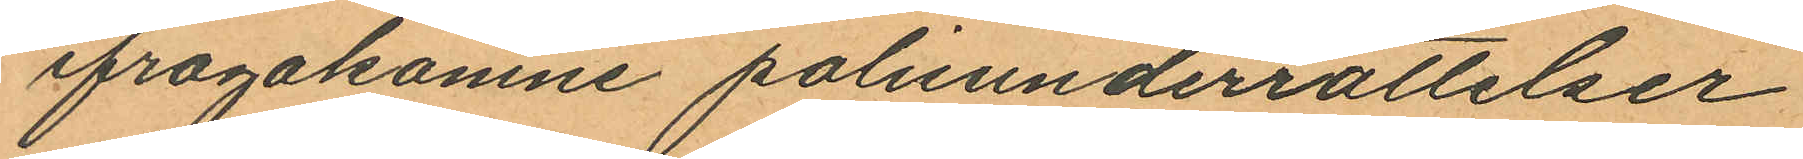ifrågakomne polisunderrättelser
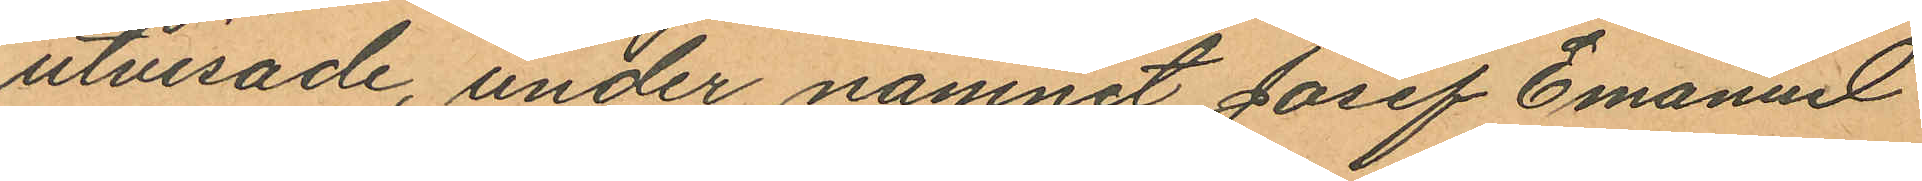utvisade, under namnet Josef Emanel
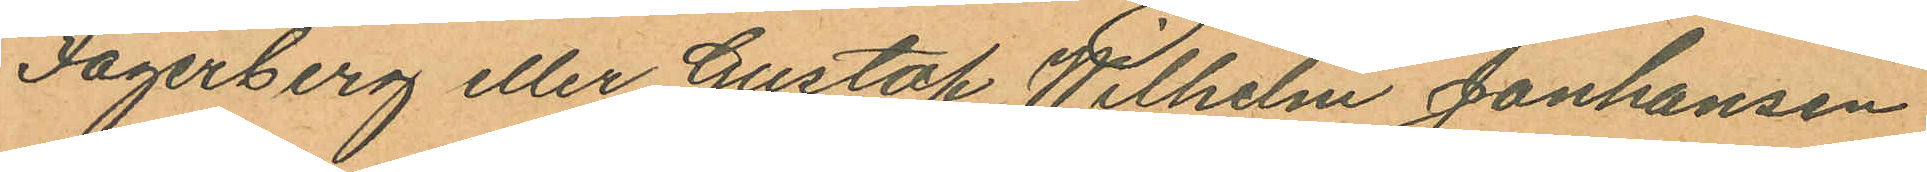Fagerberg eller Gustaf Wilhelm Jonhansen
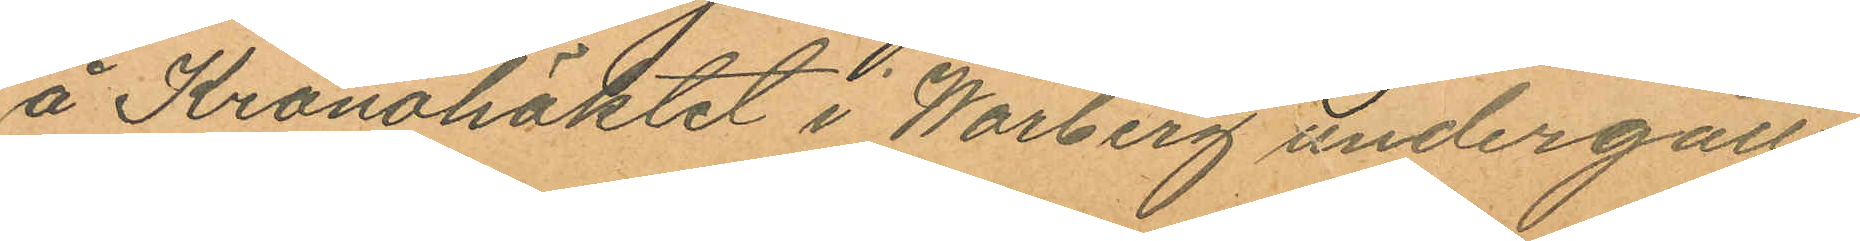å Kronohäktet i Warberg undergått
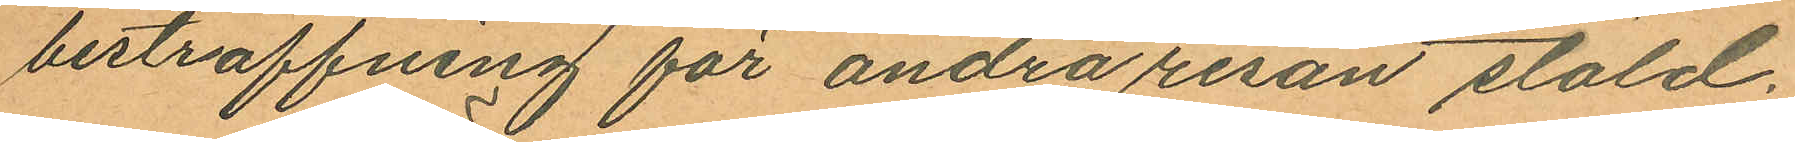bestraffning för andra resan stöld.
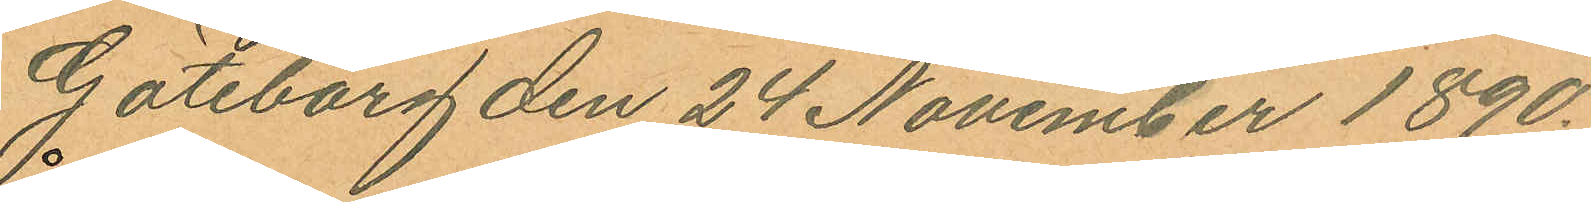Göteborg den 24 November 1890.
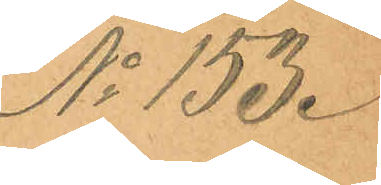No 153.
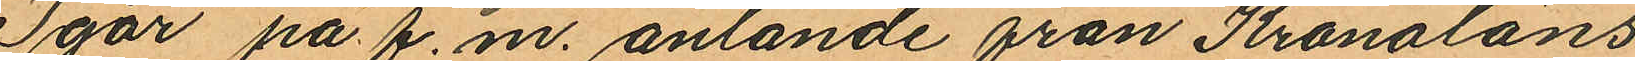Igår på f.m. anlände från Kronoläns¬
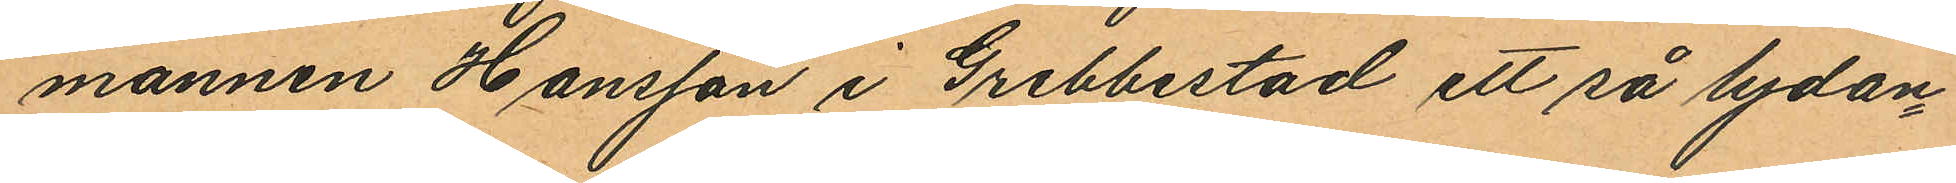mannen Hansson i Grebbestad ett så lydan¬
